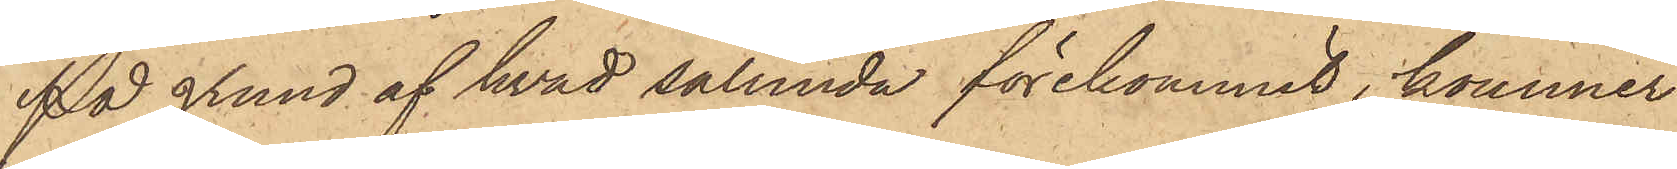På grund af hvad sålunda förekommit, kommer
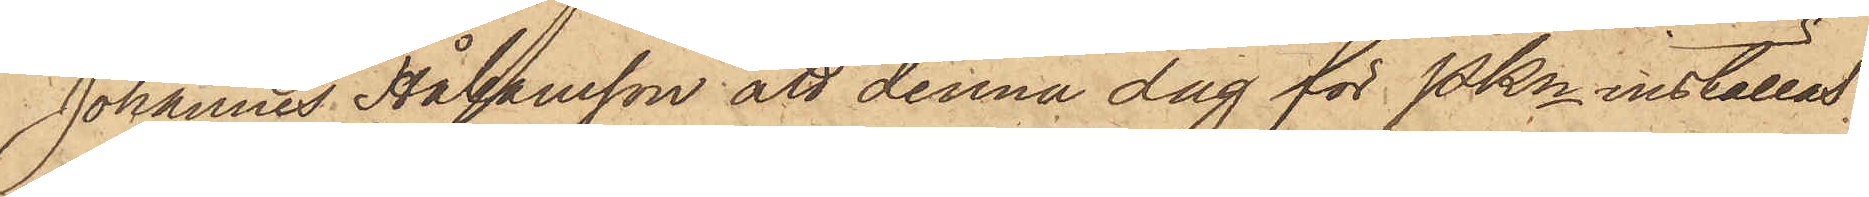Johannes Håkansson att denna dag för Pkn inställas.
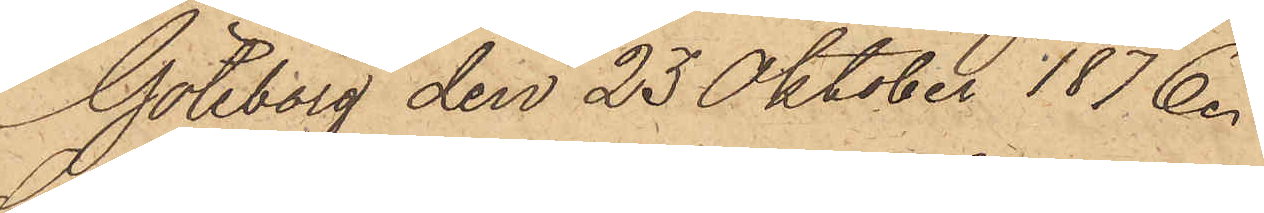Göteborg den 23 Oktober 1876.
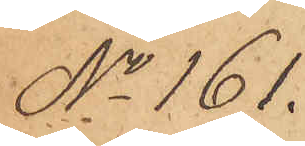No 161.
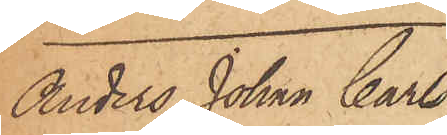Anders Johan Carls¬
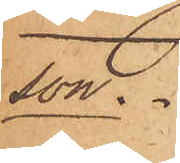son
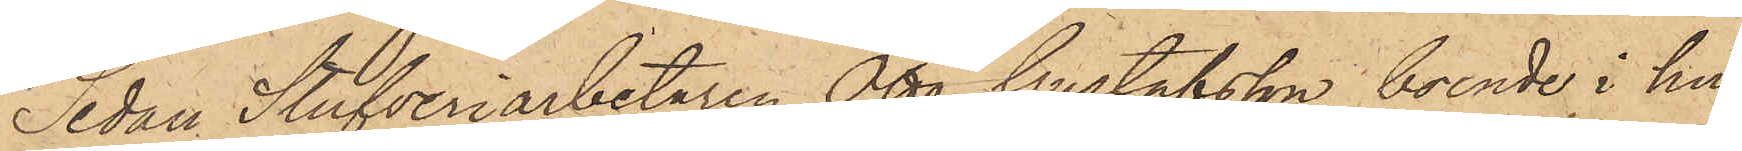Sedan Stufveriarbetaren Otto Gustafsson, boende i hu¬
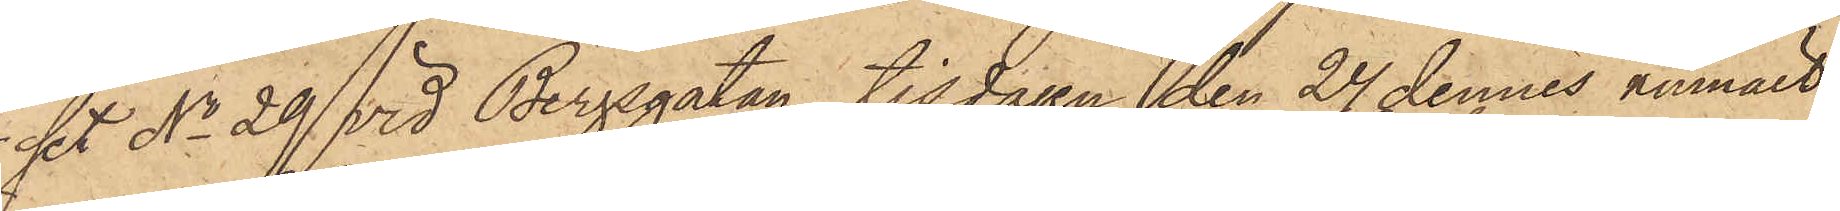set No 29 vid Bergsgatan, tisdagen den 24 dennes anmält,
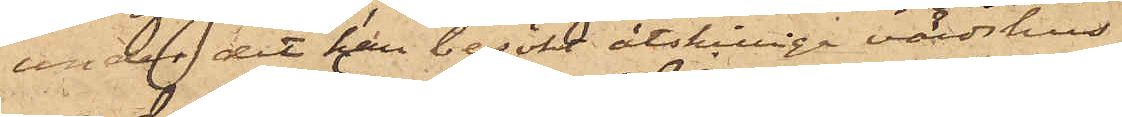att derförutgångne dag vid middagstiden,
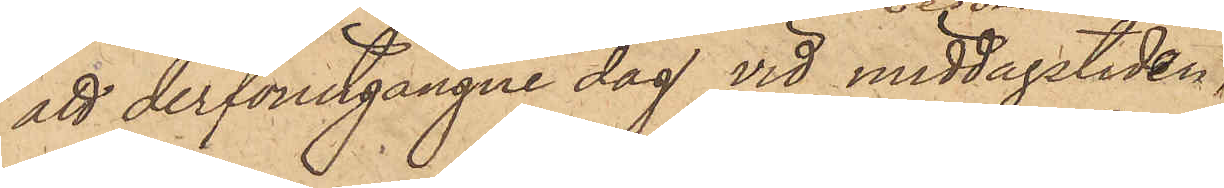under det att han besökt åtskilliga värdshus,
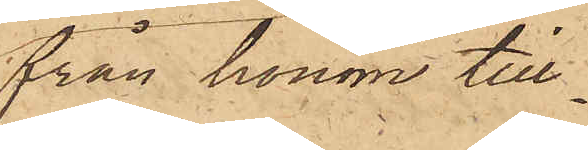från honom till¬
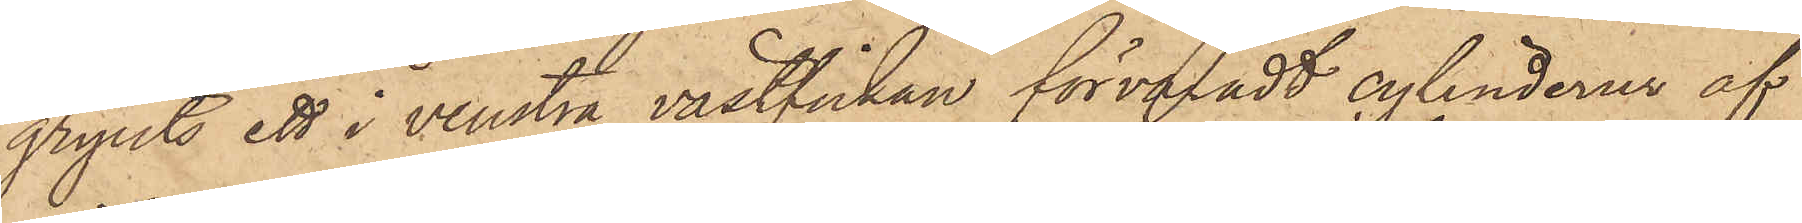gripits ett i venstra västfickan förvaradt cylinderur af
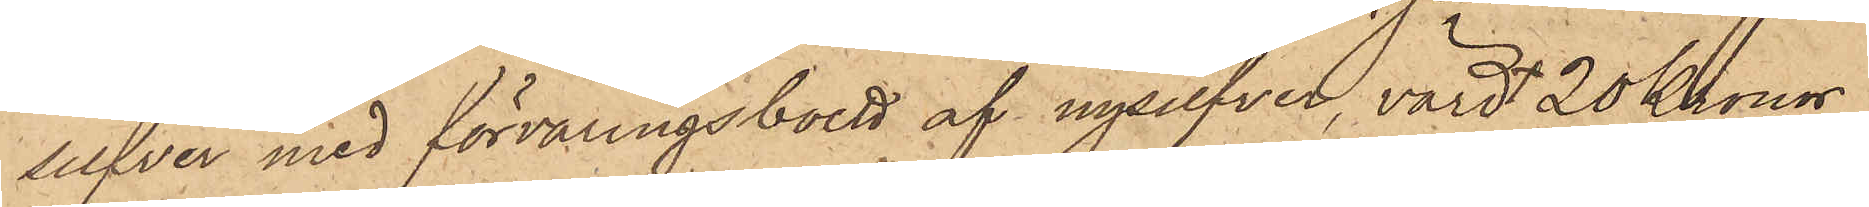silfver med förvaringsboett af nysilfver, värd 20 Kronor,
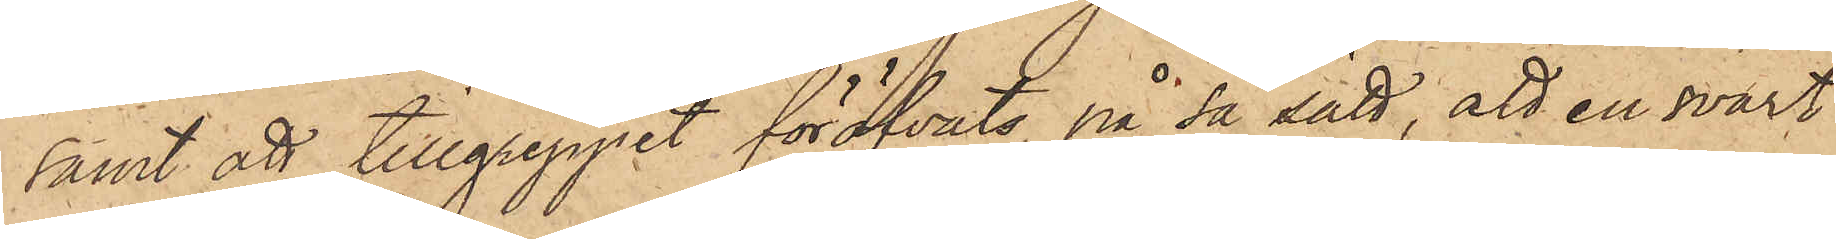samt att tillgreppet föröfvats på så sätt, att en svart
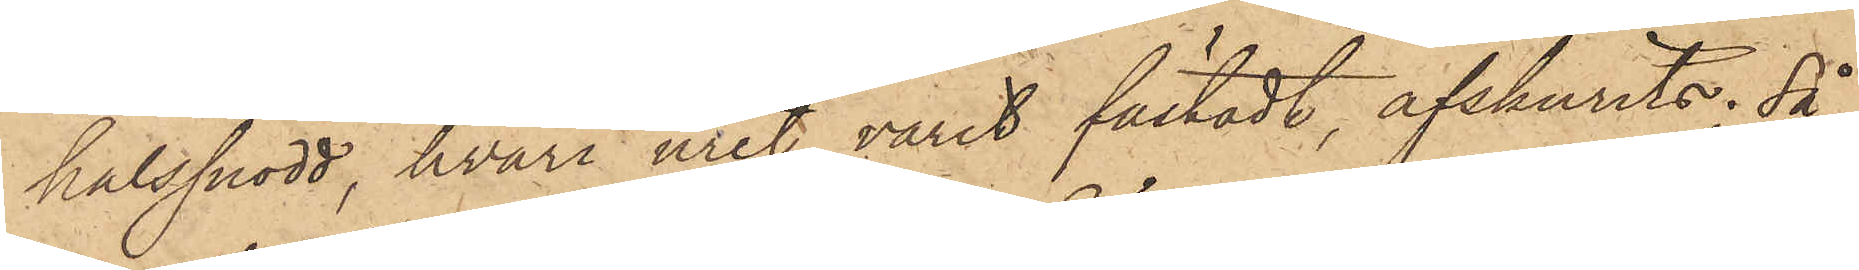halssnodd, hvari uret varit fästadt, afskurits; så
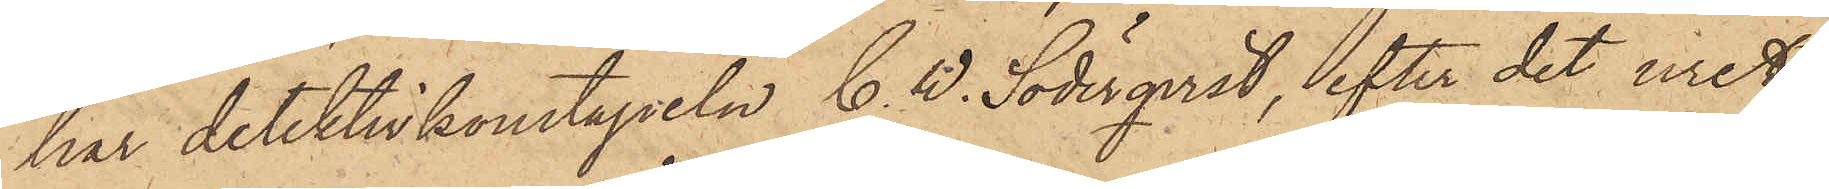har detektivkonstapeln C. W. Söderqvist, efter det uret
